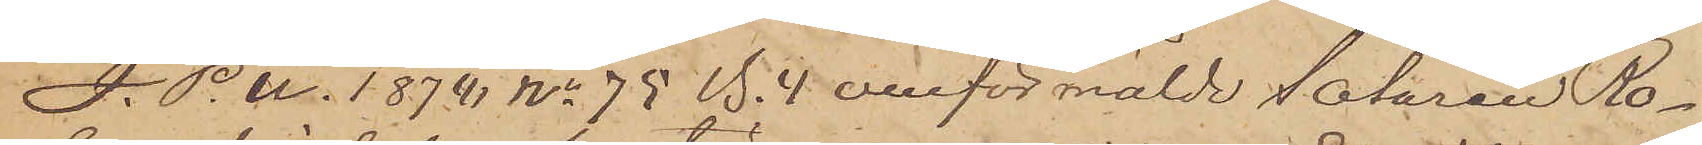I. P. U. 1878 No 75 B.4 omförmälde Sotaren Ro¬
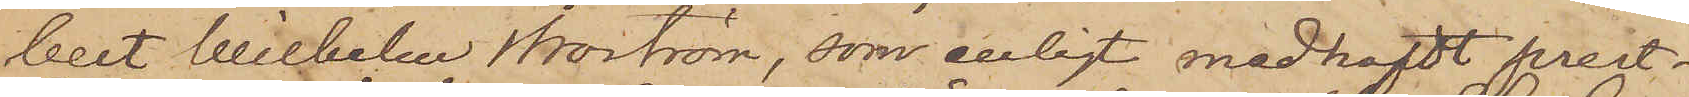bert Wilhelm Norström, som enligt medhafdt prest¬
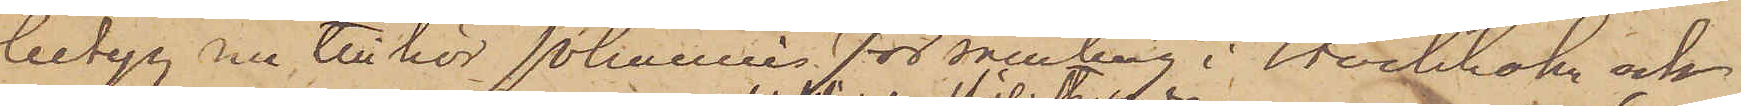betyg nu tillhör Johannes församling i Stockholm och
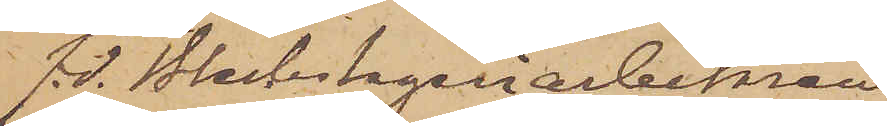f.d. Bleckslageriarbetaren
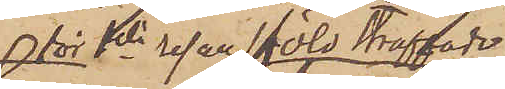för 1sta resan stöld straffade
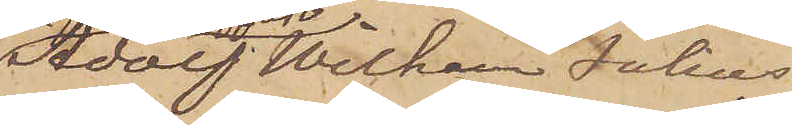Adolf Wilhelm Julius
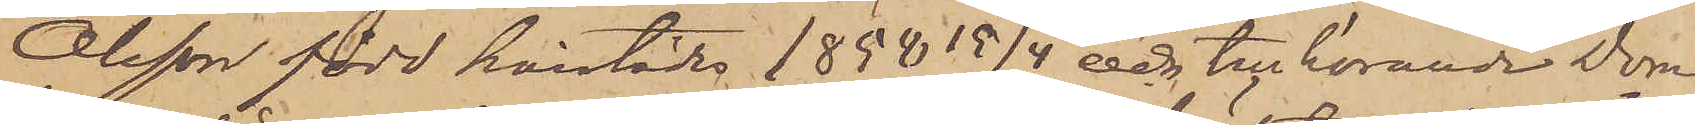Olsson född härstädes 1858 15/4 och tillhörande Dom¬
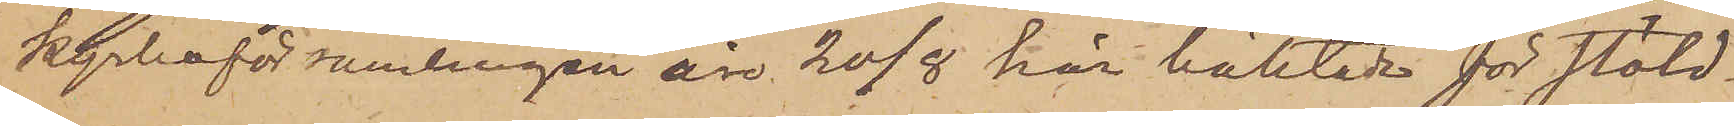kyrkoförsamlingen äro 20/8 här häktade för stöld.
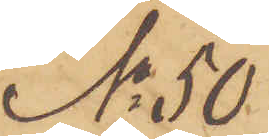No 50
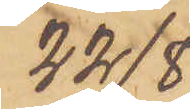22/8.
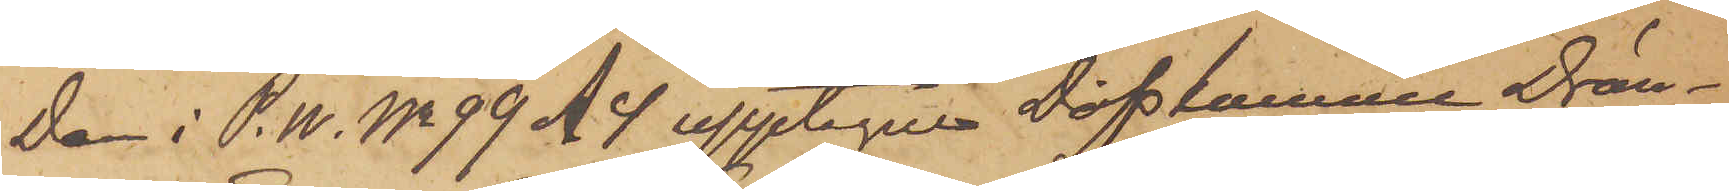Den i P.U. No 99 A 4 upptagne Döfstumme Drän¬
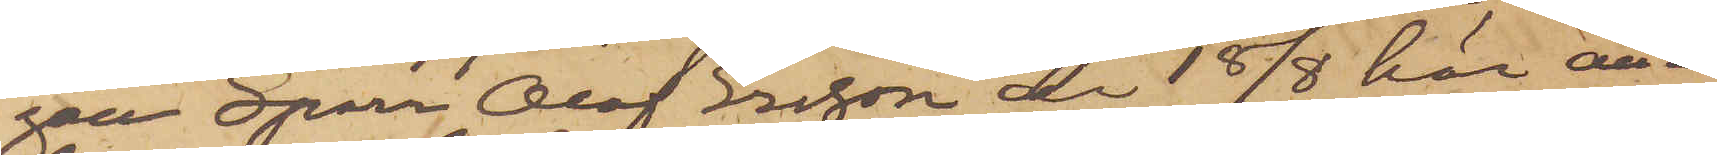gen Sparr Olof Ersson är 18/8 här an¬
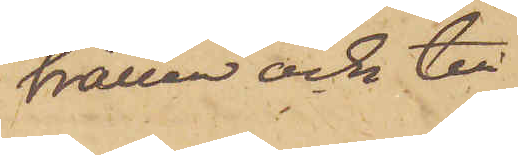hållen och till
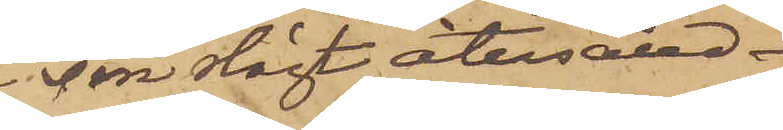sin slägt återsänd.
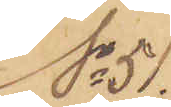No 51.
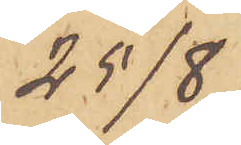25/8.
